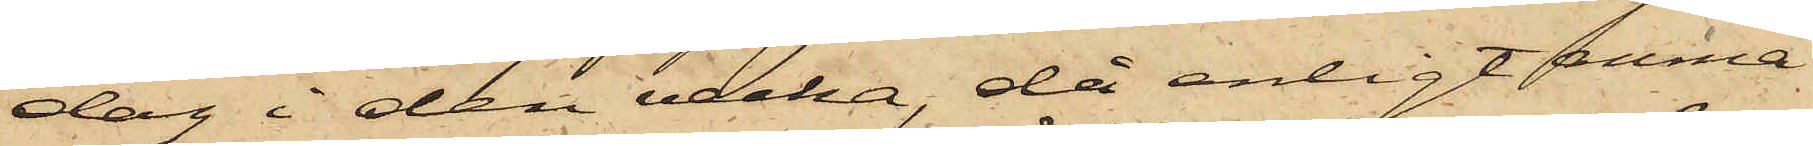dag i den vecka, då enligt anmä¬
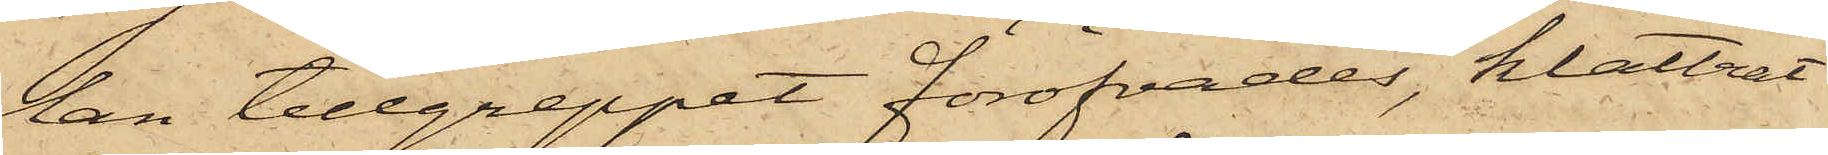lan tillgreppet föröfvades, klättrat
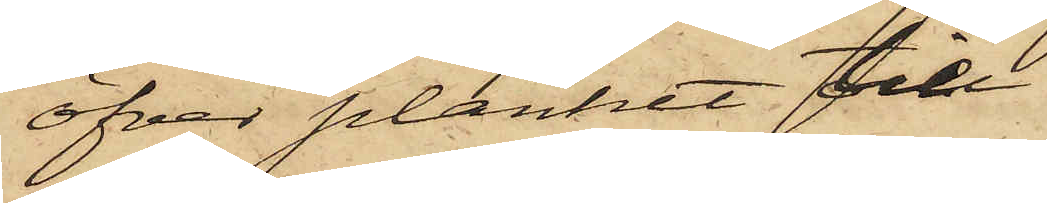öfver planket till
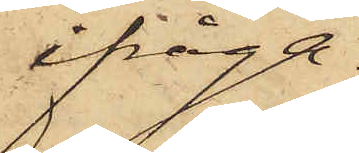ifråga¬
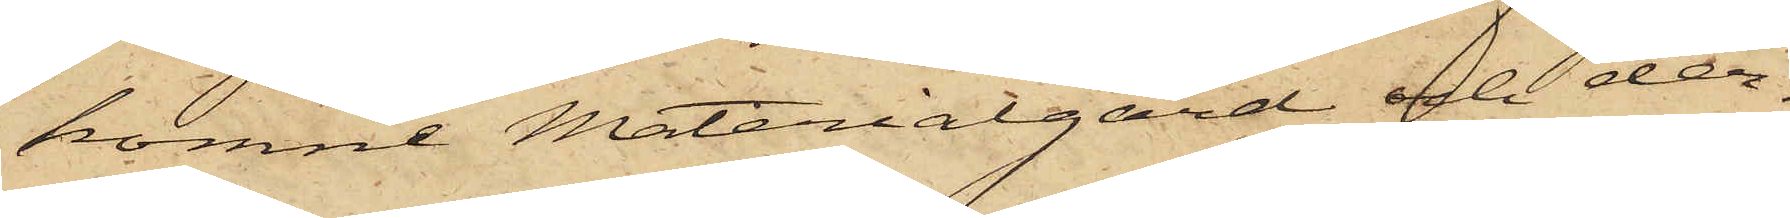komne Materialgård och der¬
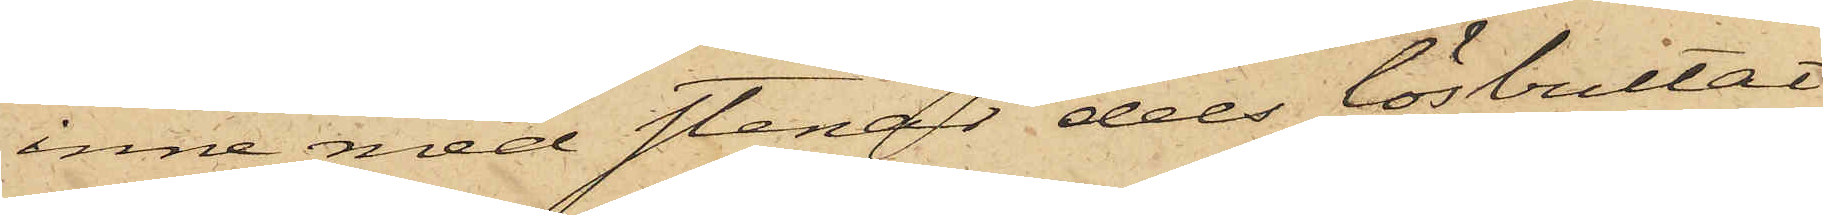inne med stenar dels lösbultat
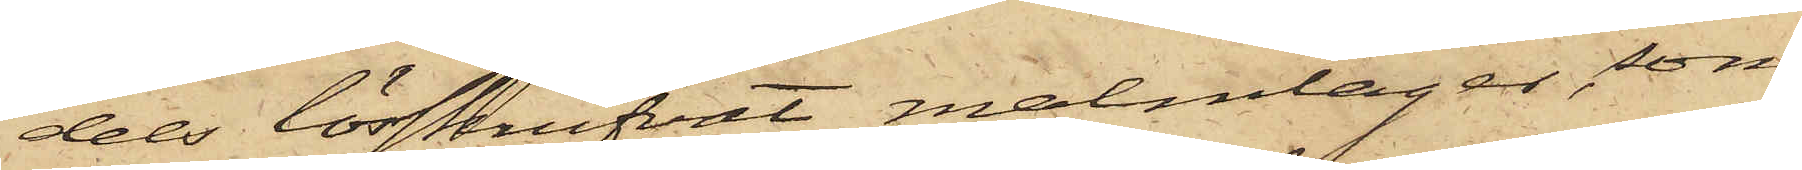dels lösskrufvat malmlager, som
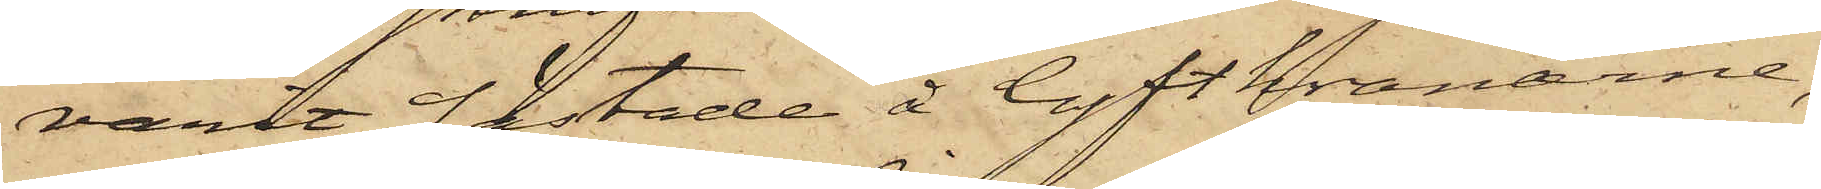varit fästade å lyftkranarne;
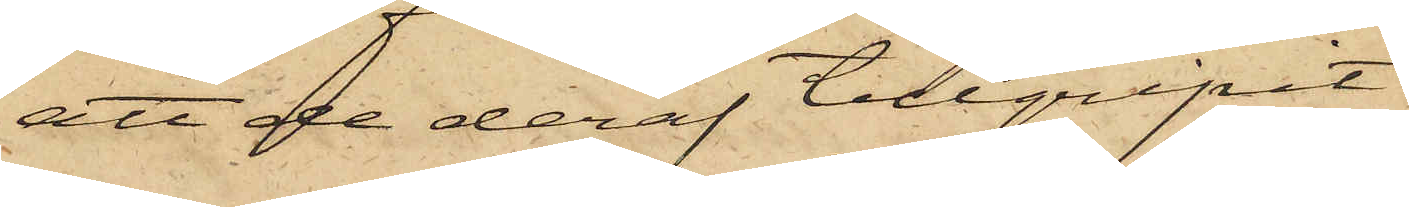att de deraf tillgripit
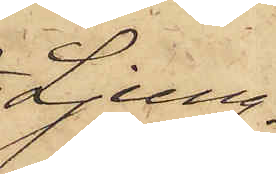Ljung¬
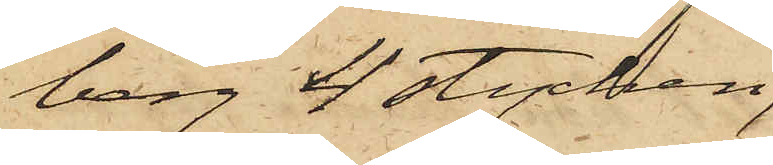berg 4 stycken,
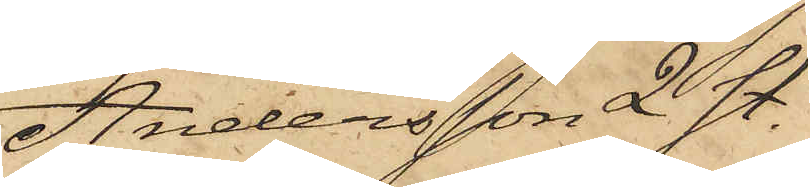Andersson 2 st.
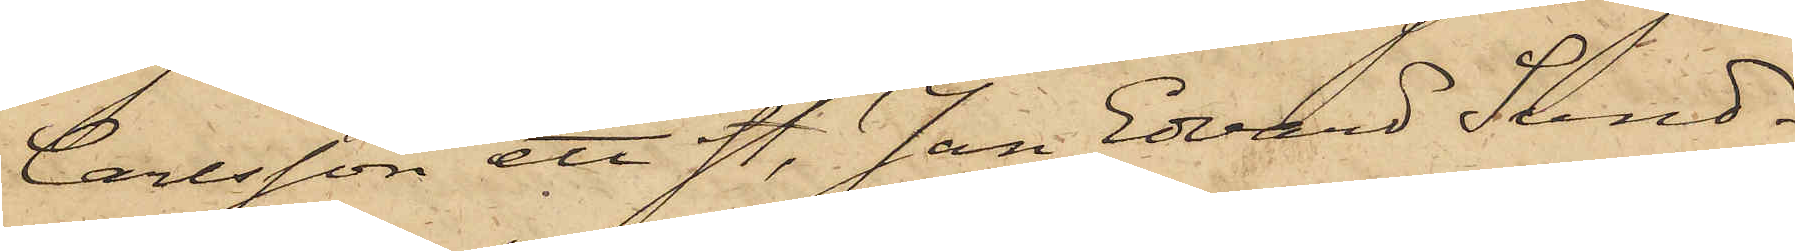Carlsson ett st., Jan Edvard Sund¬
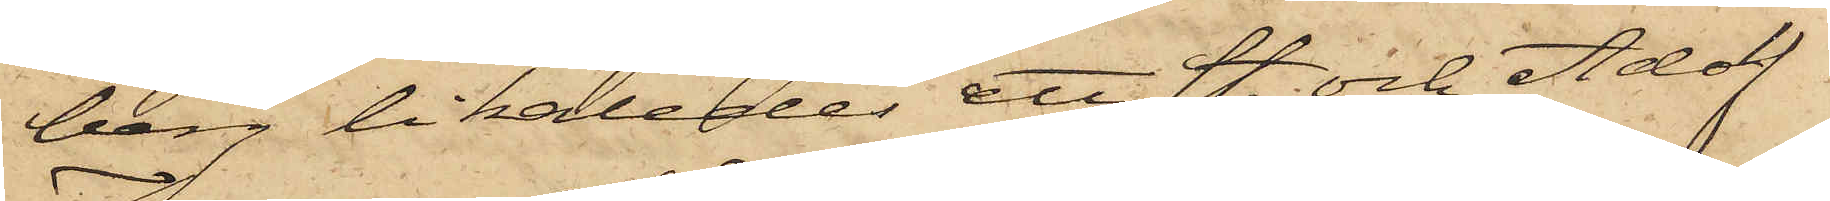berg likaleder ett st. och Adolf
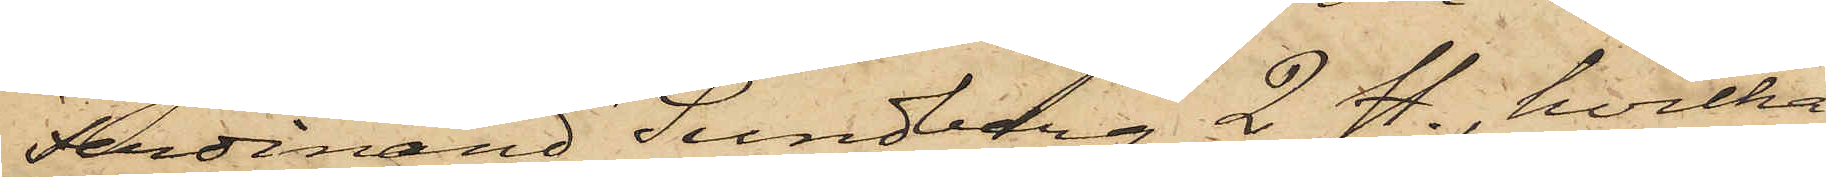Ferdinand Lundberg 2 st., hvilka
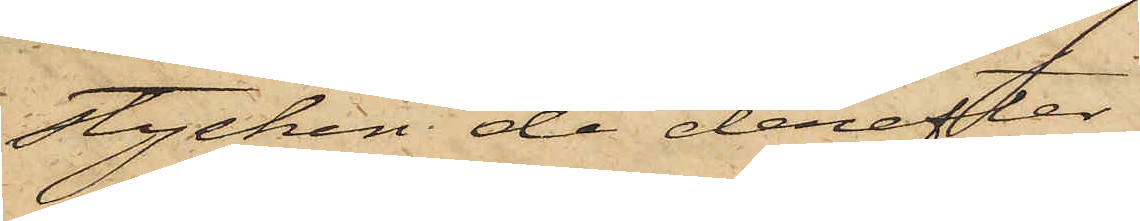stycken de derefter
